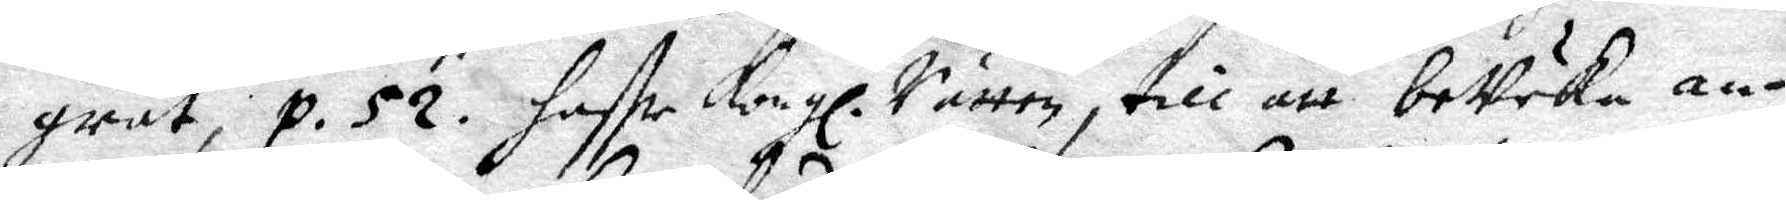grat, p. 52. haffr Kongl. Rätten, till att beVeka an¬
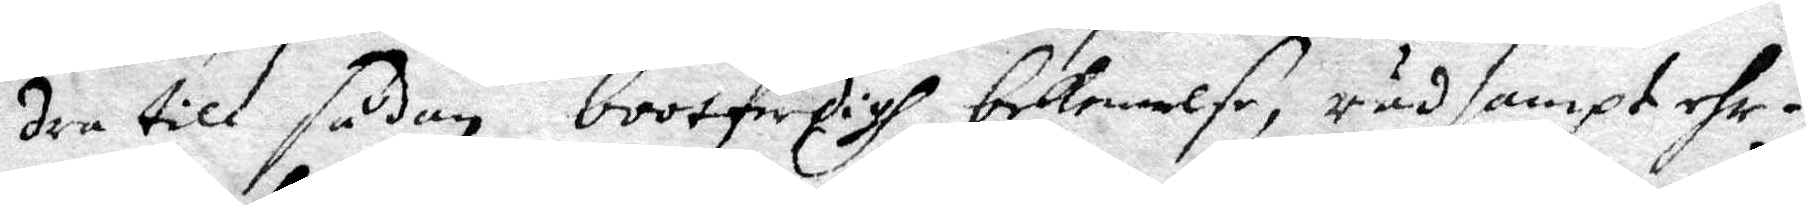dra till sådan bootferdigh bekennelse, rådsampt ehr¬
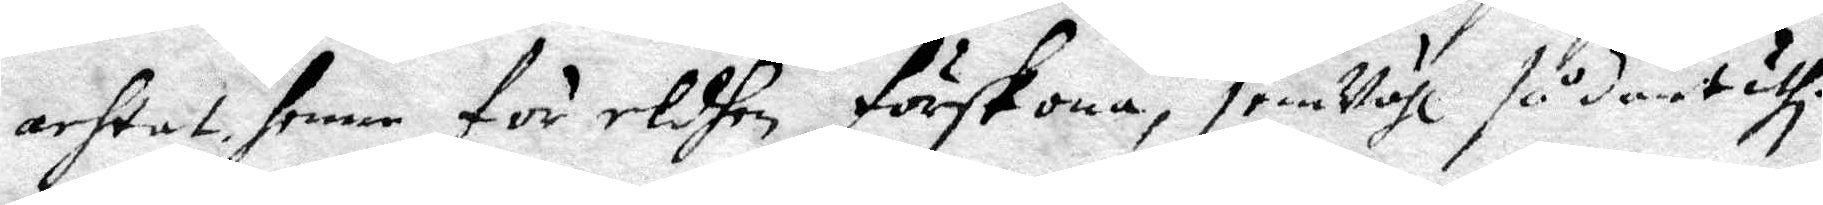achtat henne för eldhen förskona, jemVähl sådant uthi
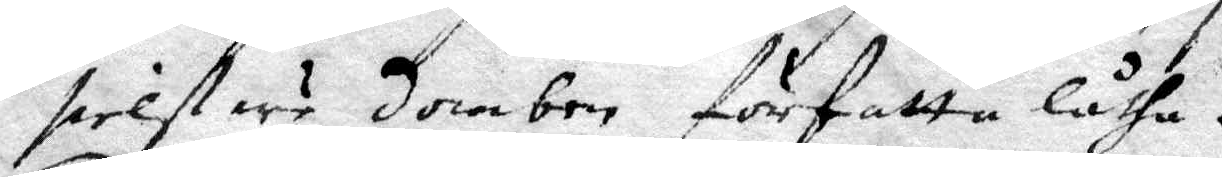sielfwe domben författa låtha.
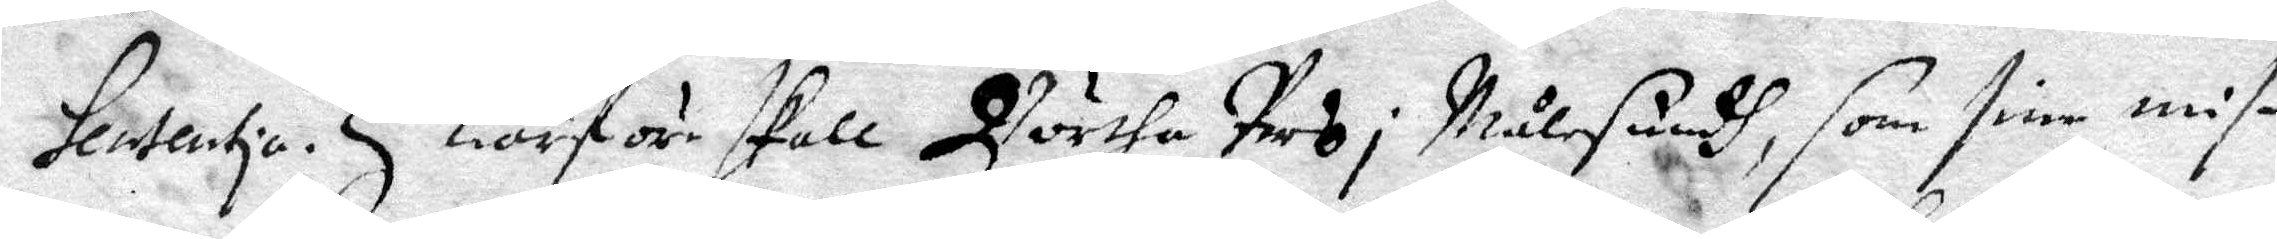Sententia. Huarföre skall Börtha Pers i Målesundh, som sine mis¬
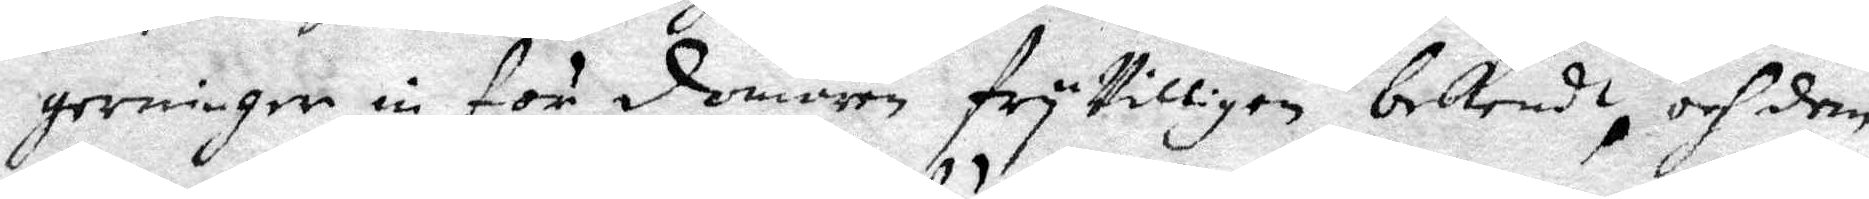gerninger in för domaren fryVilligen bekendt, och dem
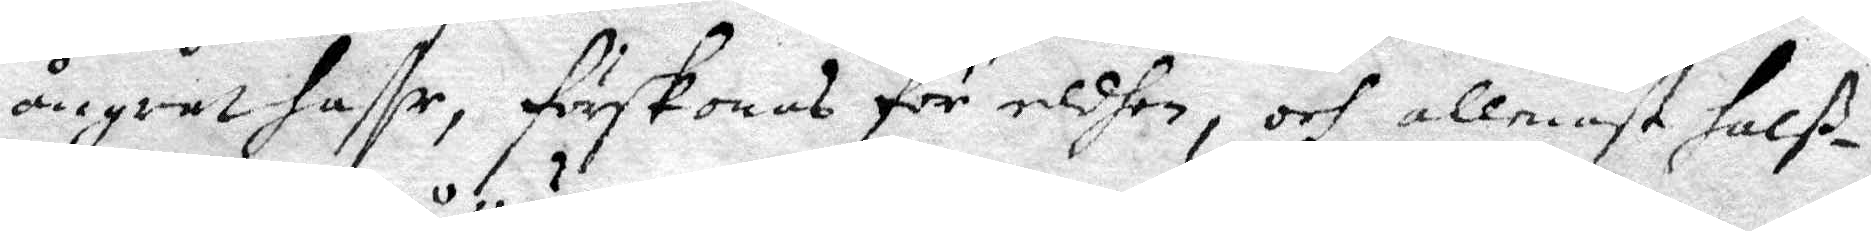ångrat haffr, förskonas för eldhen, och allenast halß¬
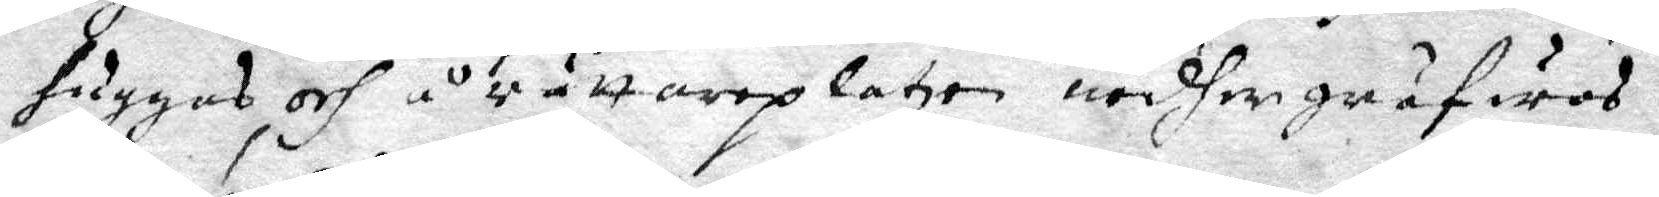huggas och å rättareplatzen nedgräfwas.
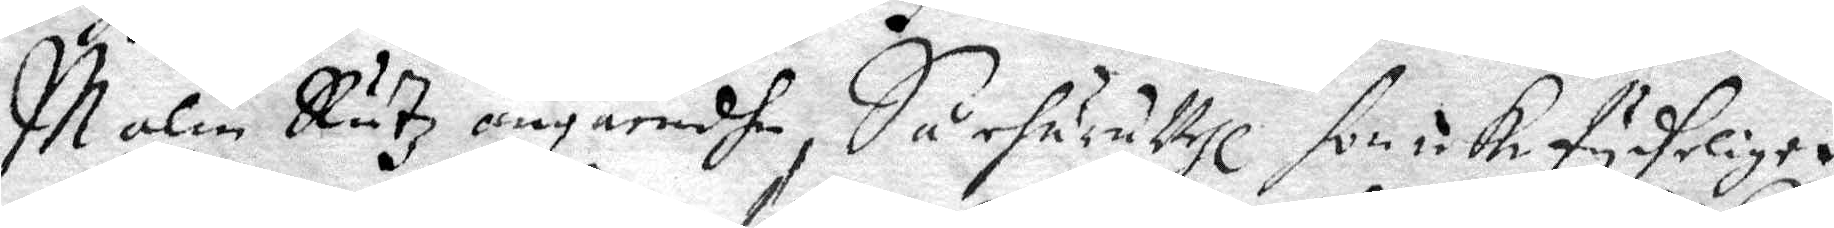10. malin Rutz angåendhe, Så ehuruwähl hon icke tydeligen
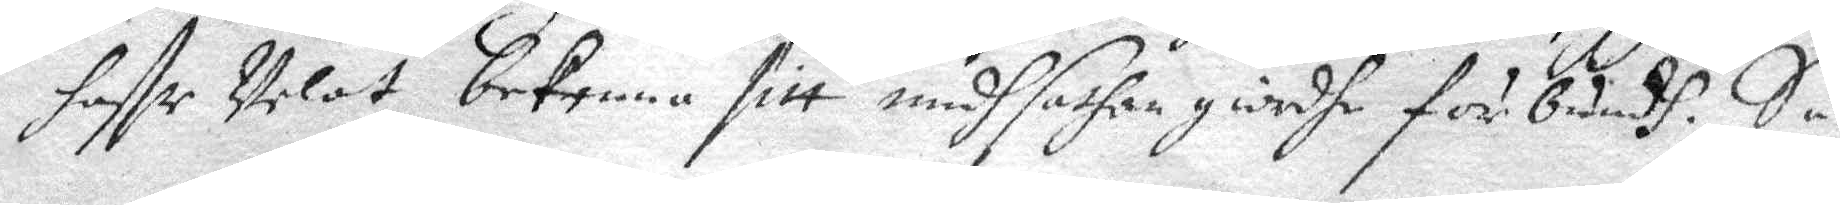haffr welat bekenna sitt medh sathan giordhe förbundh. Så
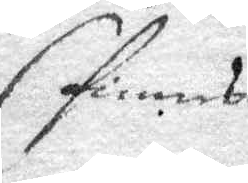finnes
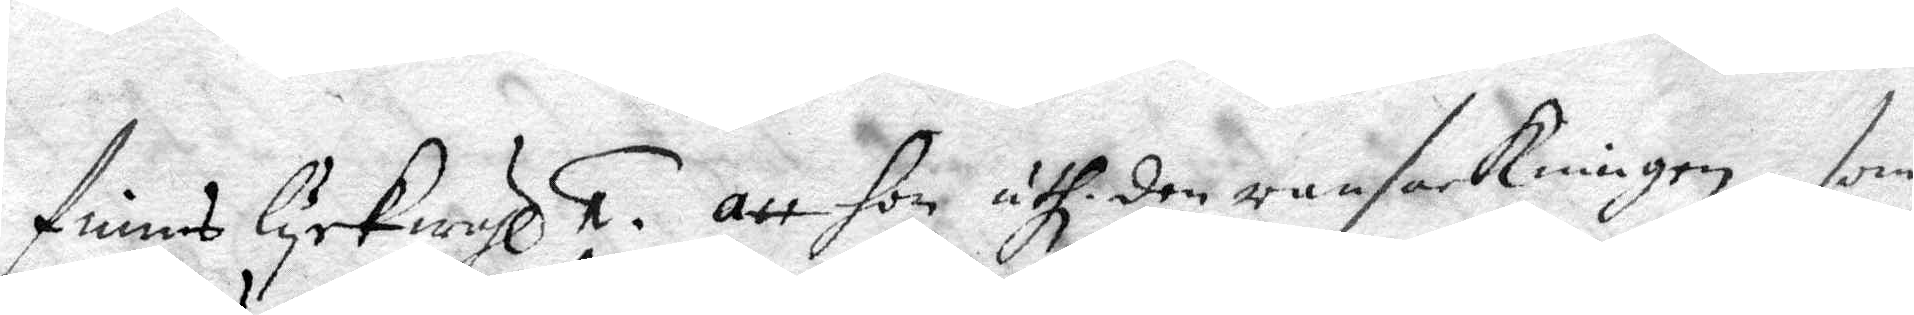finnes lyckwähl 1. att hon uthi den ransakningen, som
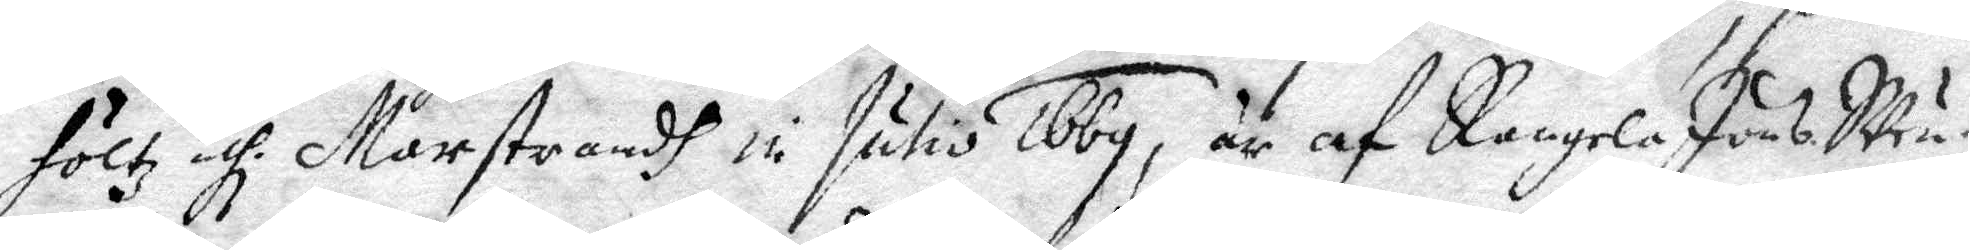höltz uthi Marstrandh in Julio 1669, är af Rangela Jöns Swen¬
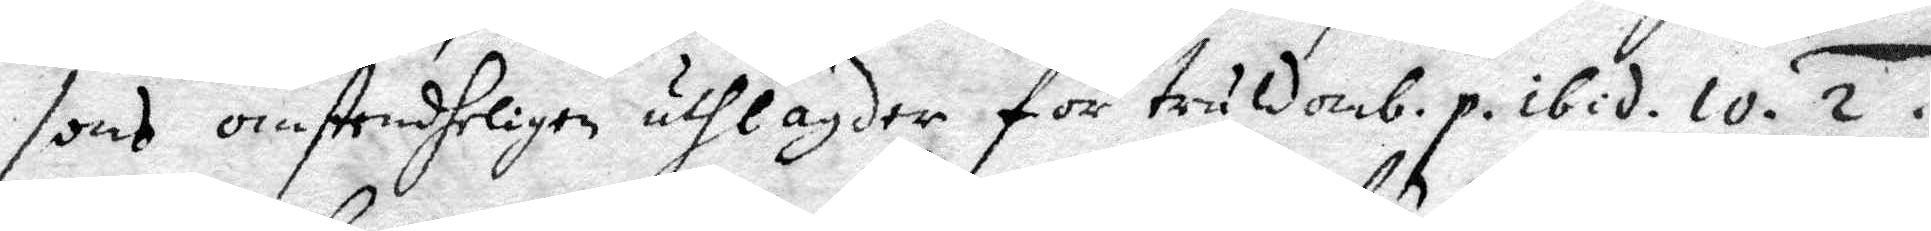sons omstendheligen uthlagder för truldomb. p. ibid. 10. 2.
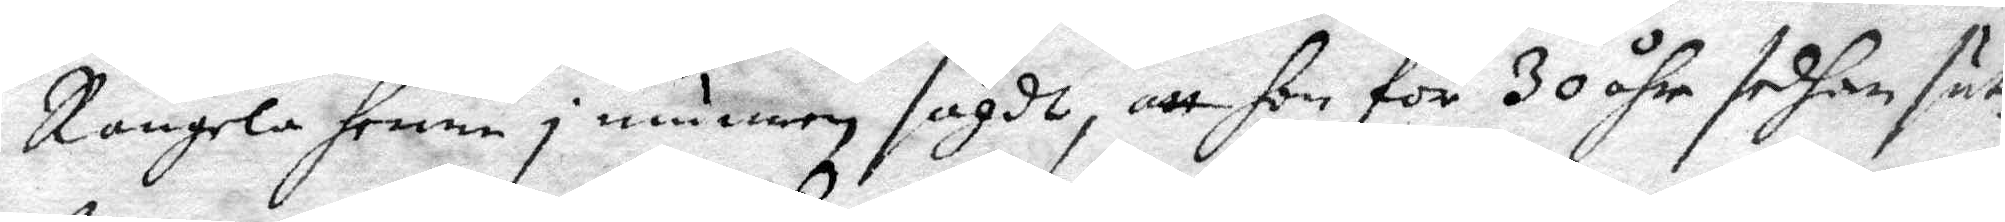Rangela henne i munnen sagdt, att hon för 30 åhr sedan sut¬
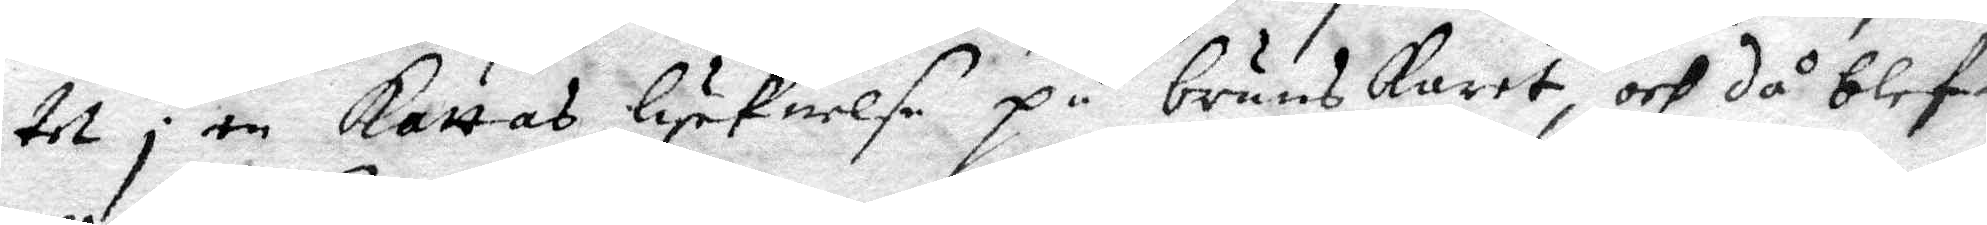tet i en kattas lyknelse på bruns karet och då blefen
